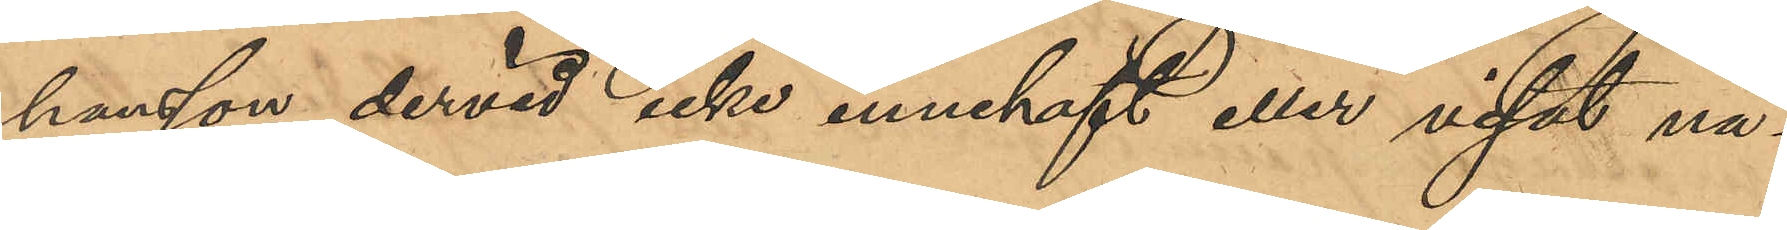hansson dervid icke innehaft eller visat nå¬
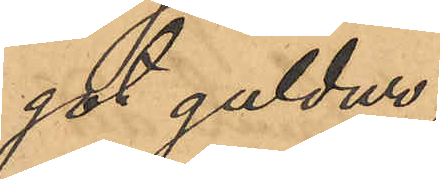got guldur;
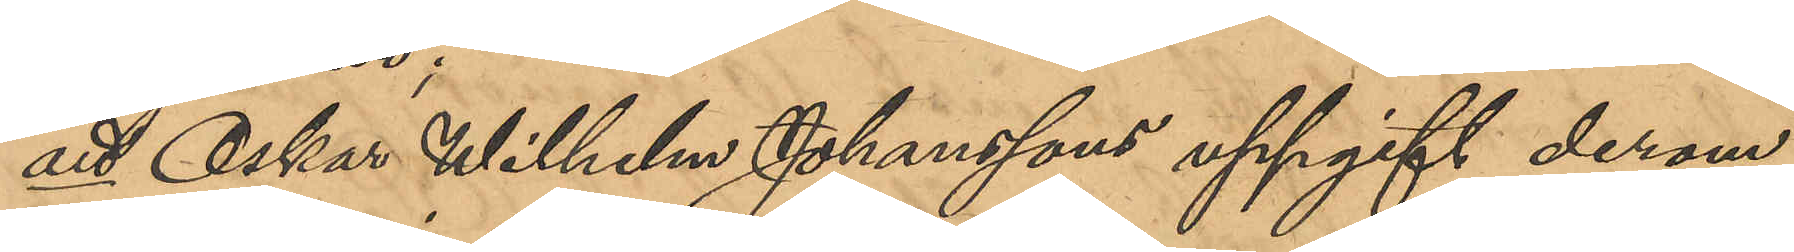att Oskar Wilhelm Johanssons uppgift derom
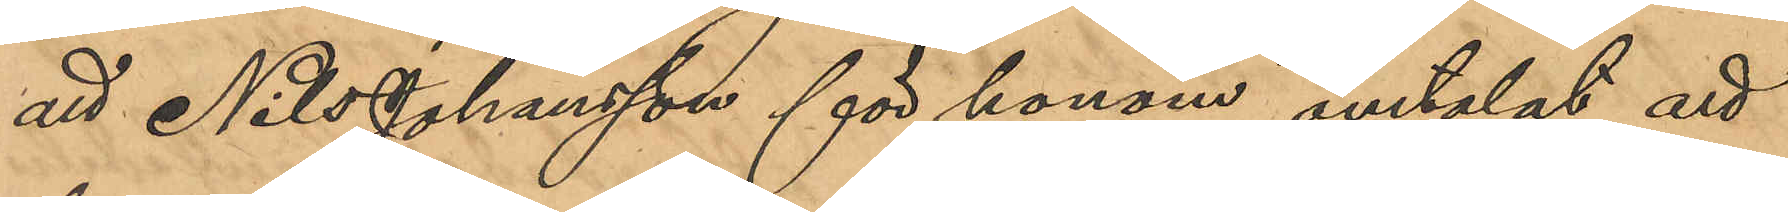att Nils Johansson för honom omtalat att
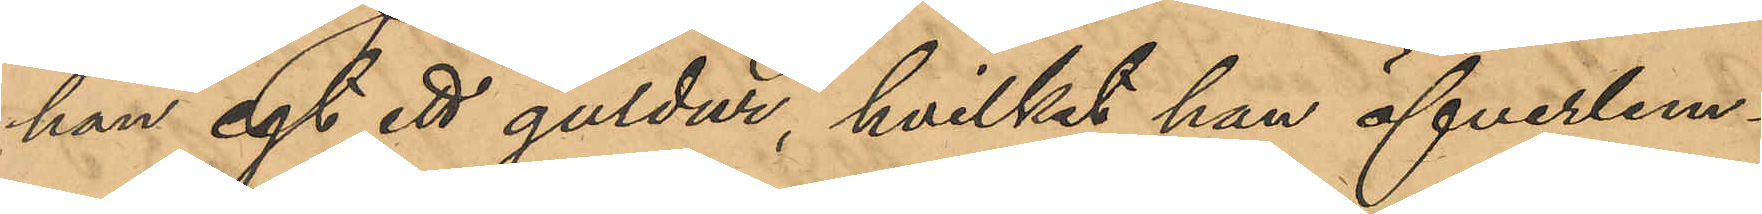han egt ett guldur, hvilket han öfverlem¬
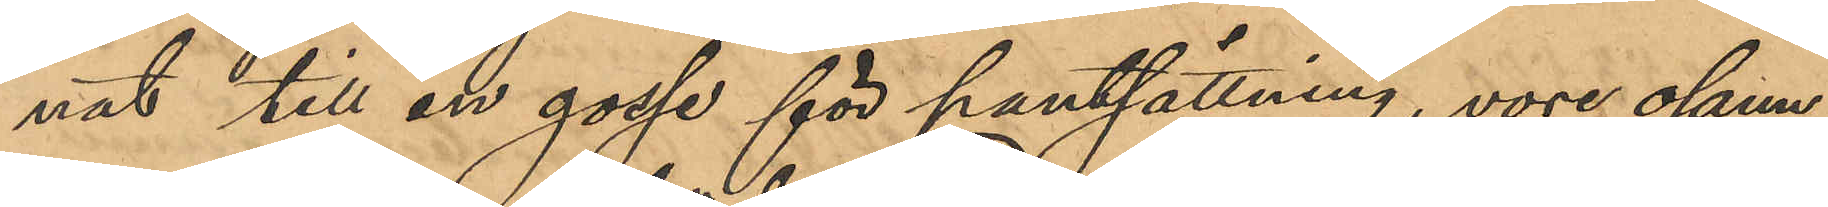nat till en gosse för pantsättning, vore osann;
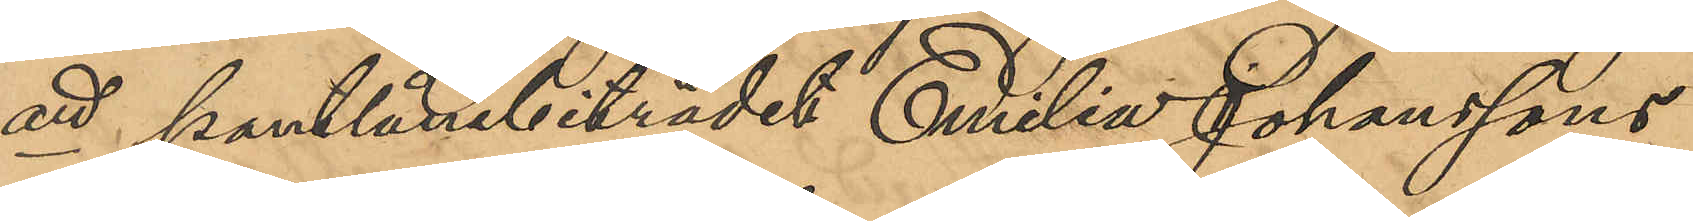att pantlånebiträdet Emilia Johanssons
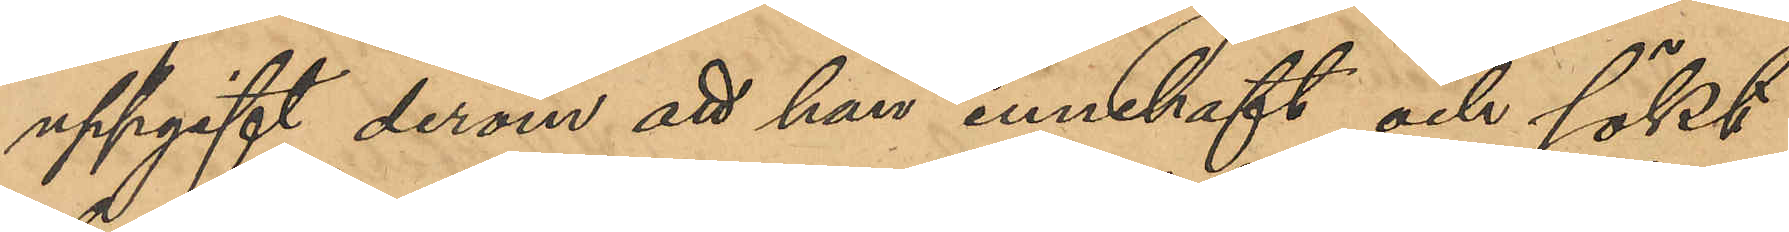uppgift derom att han innehaft och sökt
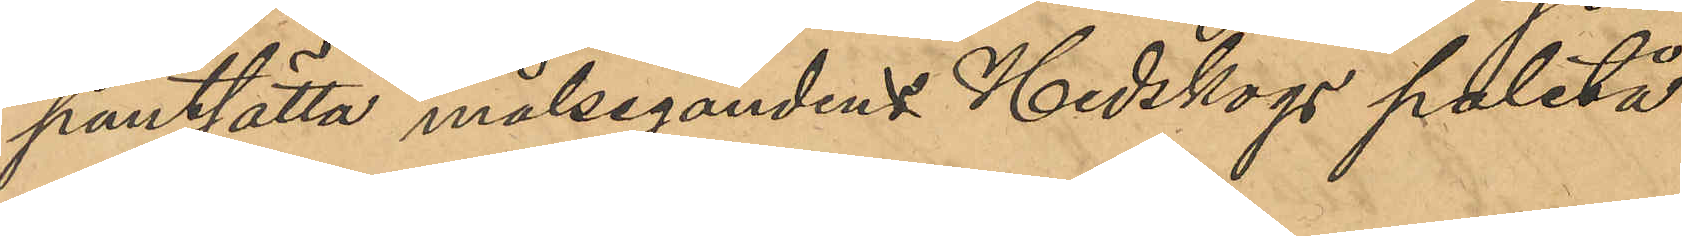pantsätta målsegandens Hedskogs paletå
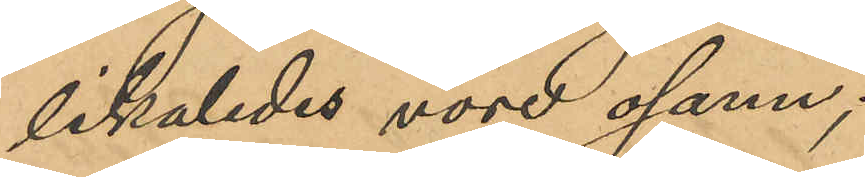likaledes vore osann;
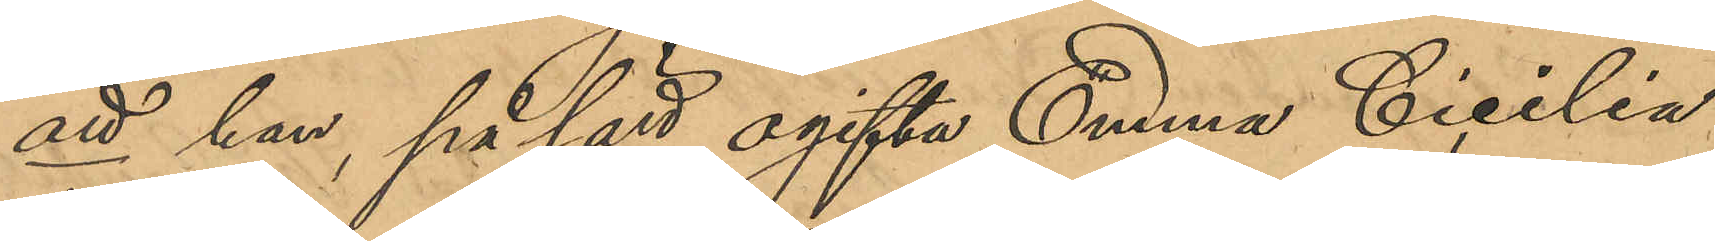att han, på sätt ogifta Emma Cecilia
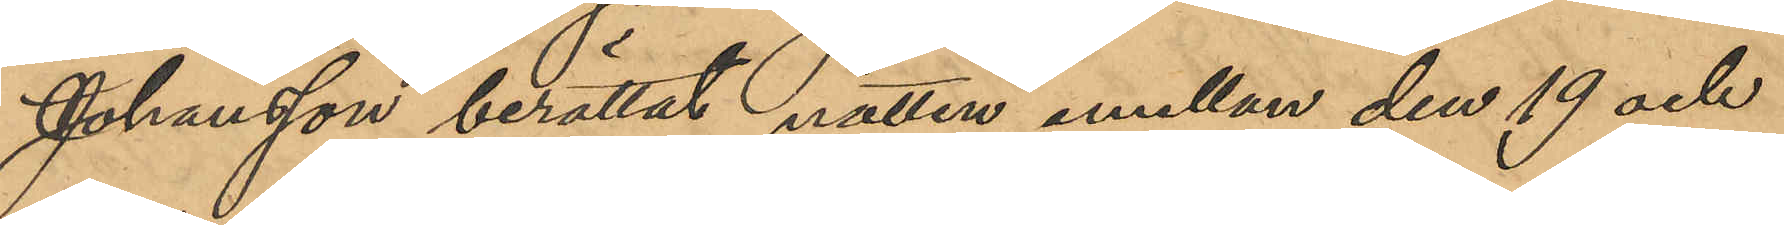Johansson berättat natten emellan den 19 och
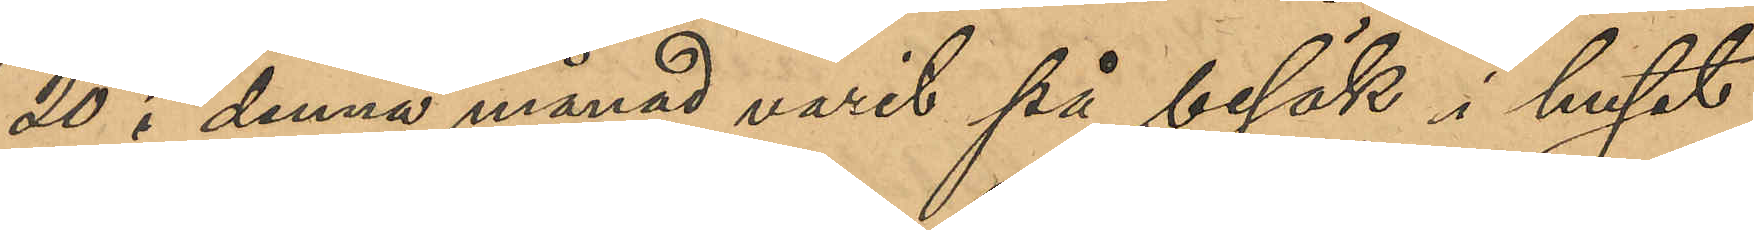20 i denna månad varit på besök i huset
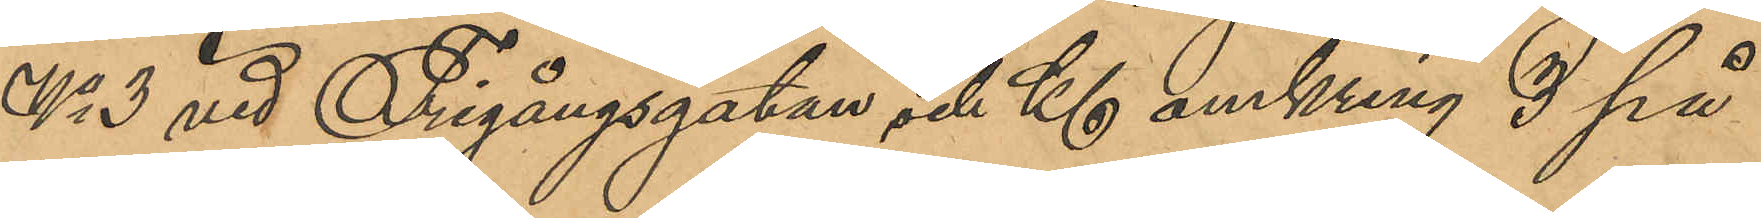No 3 vid Frigångsgatan och Kl omkring 3 på
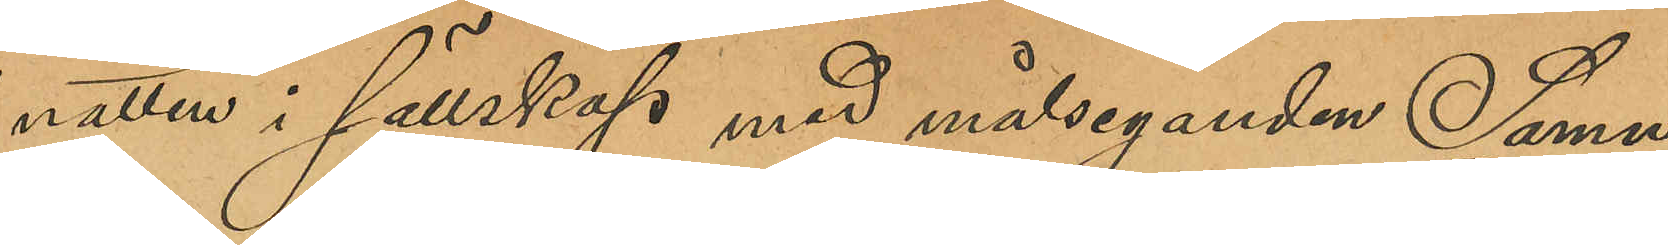natten i sällskap med målseganden Samu¬
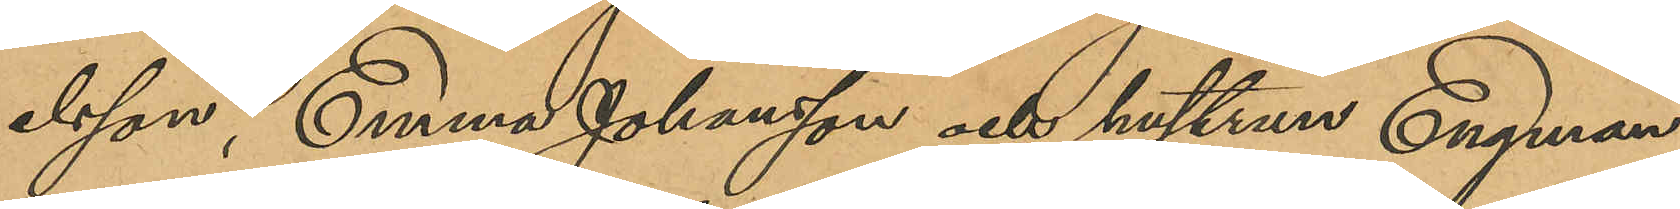elsson, Emma Johansson och hustrun Engman
